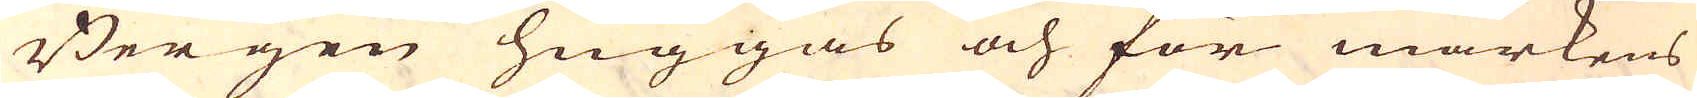Bergen huggas och för markens
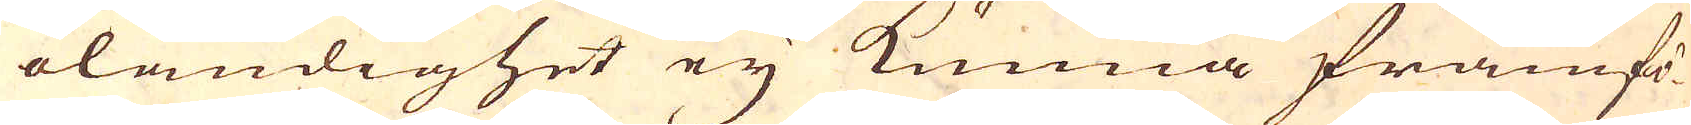oländighet ey kunna framfö-
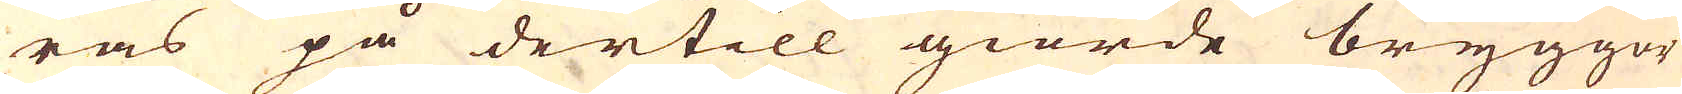ras på dertill giorde bryggor
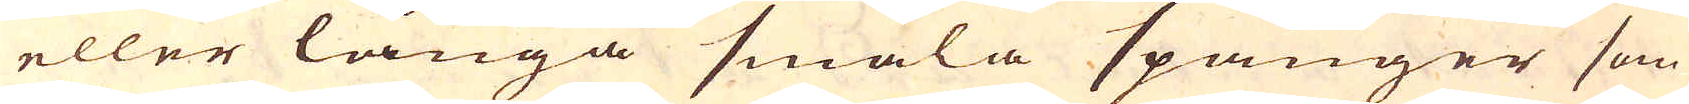eller långa smala spänger som
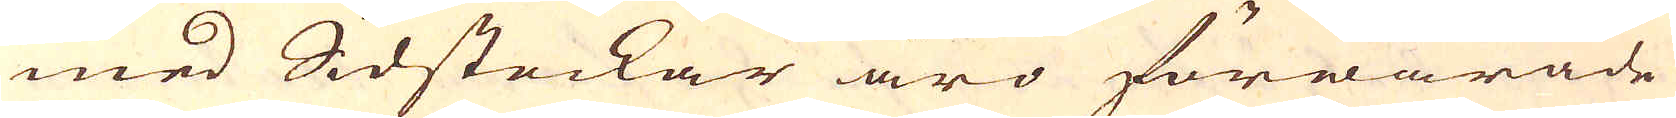med Sidstockar äro förwarade
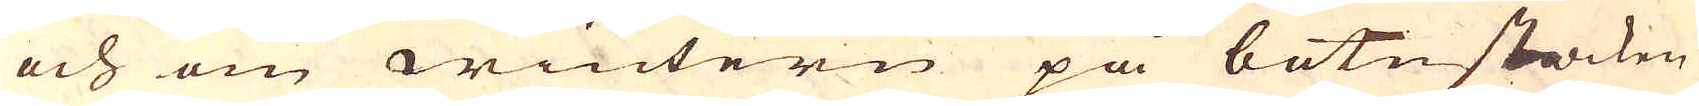och om wintern på botnstacken
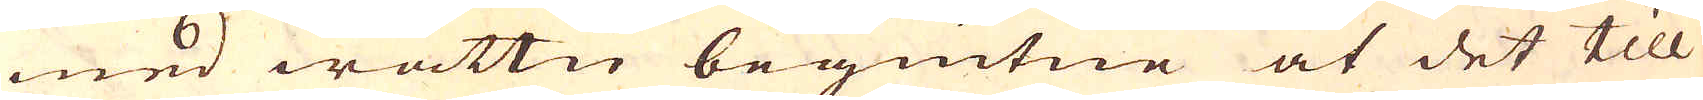med wattn begiutne at det till
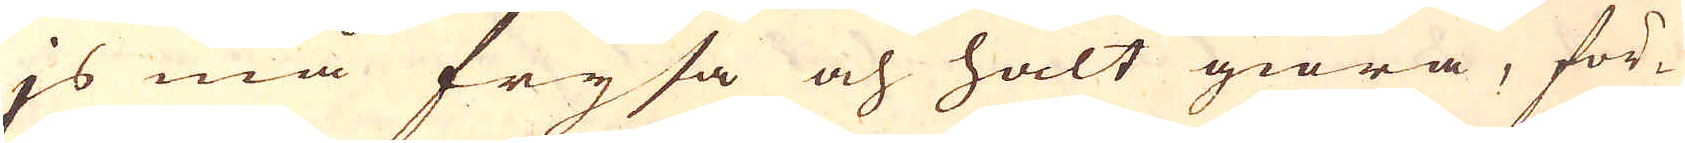js må frysa och halt giöra, för-
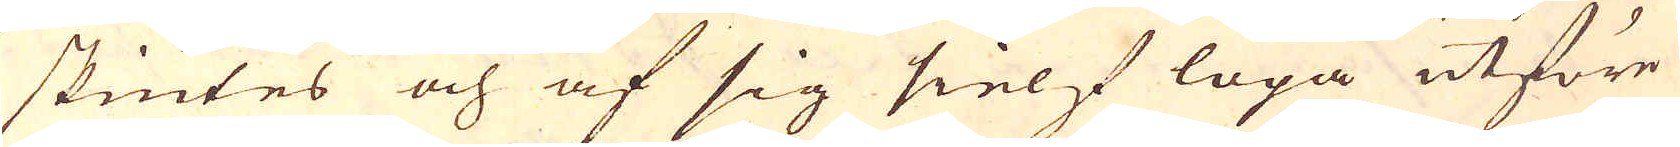skiutes och af sig sielf löpa utföre
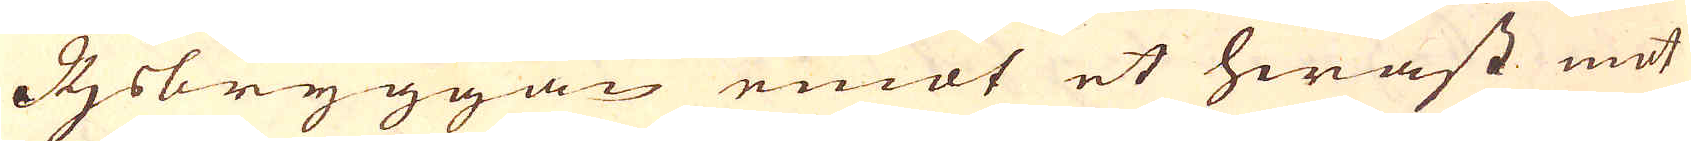Ijsbryggan emot et hwast mot
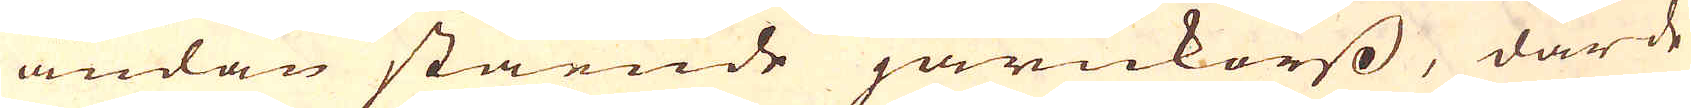ändan stående järnkorss, där de
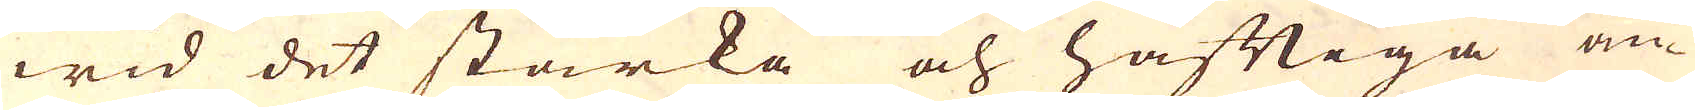wid det starka och häftiga an-
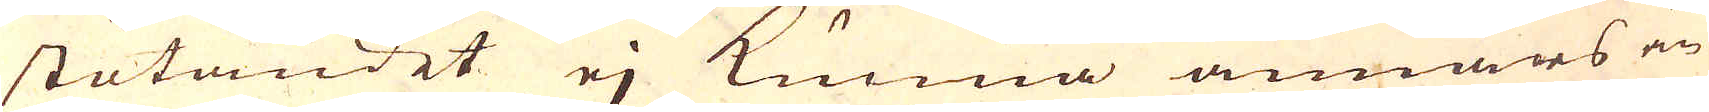stötandet ej kunna annars än
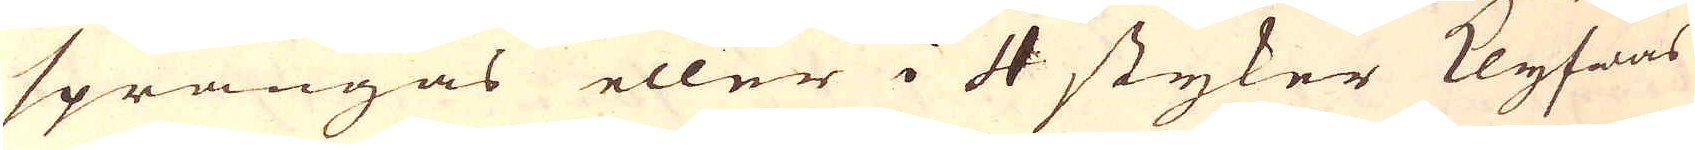sprängas eller i 4 styker Klyfwas
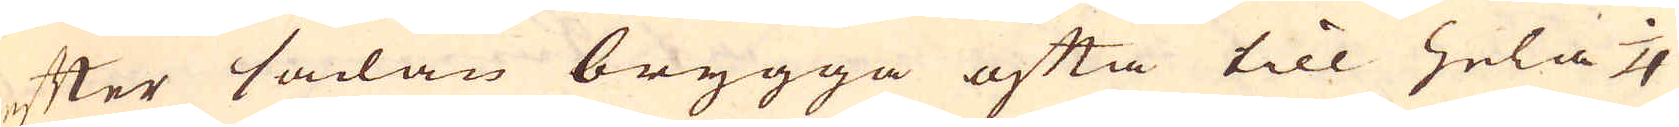efter sådan brygga ofta till hela 1/4
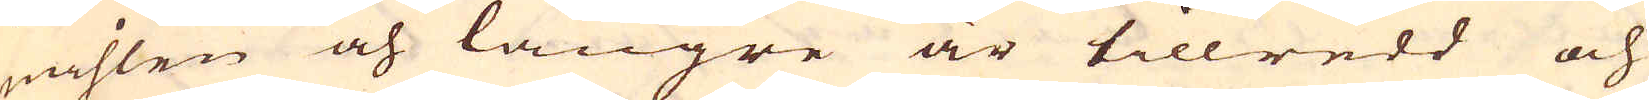mihlen och längre är tillredd och
